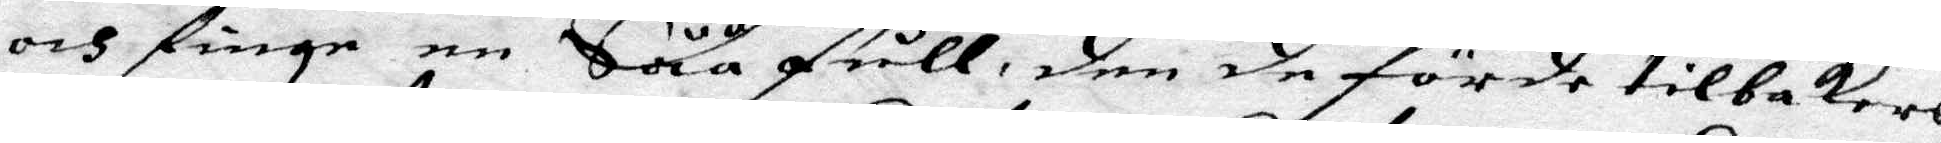och finge en Såå full, den de förde tillbakars
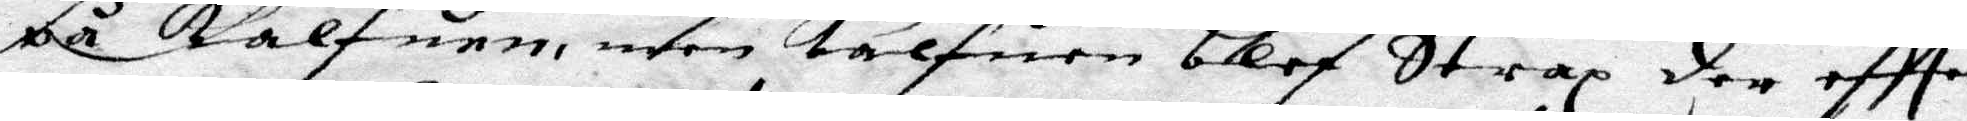på kalfuen. men kalfuen blef strax der eftter
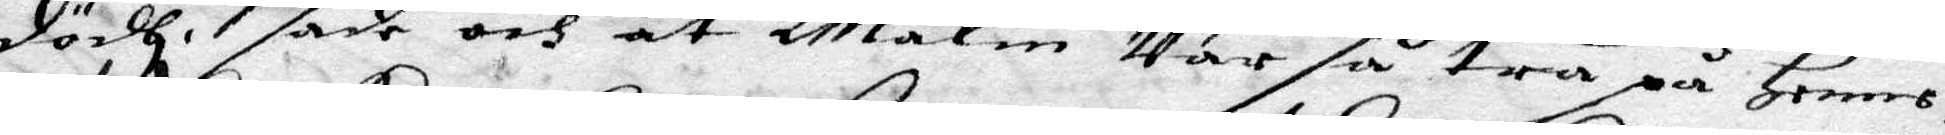dödh, sade och at Malin Var så trä på Henne,
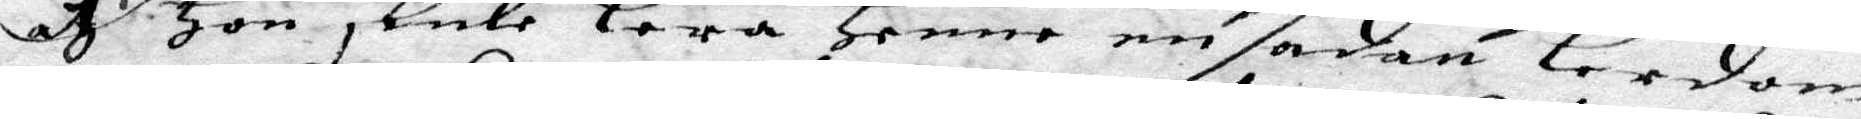at sade Hon skulle lera Henne en sadan lerdom
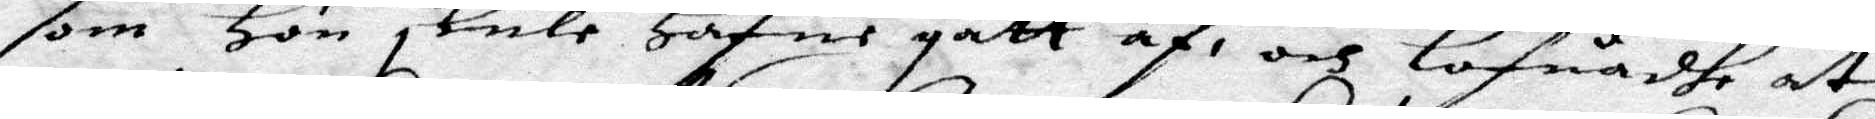som Hon skulle Hafue gått af, och Lofuadhe at
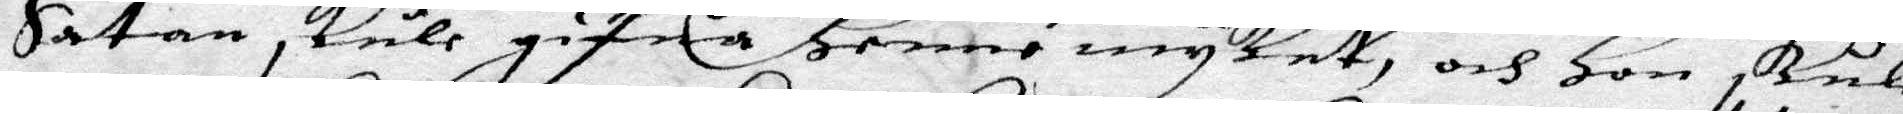Satan skull gifua Henne mycket, och Hon skulle
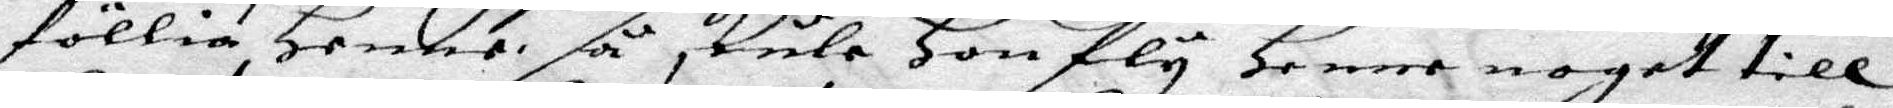föllia Henne så skule Hon fly Henne noget till
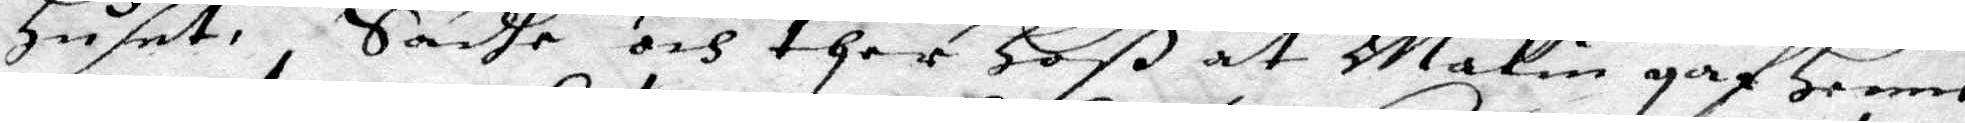Huset. Sadhe och ther Hoß at malin gaf Henne
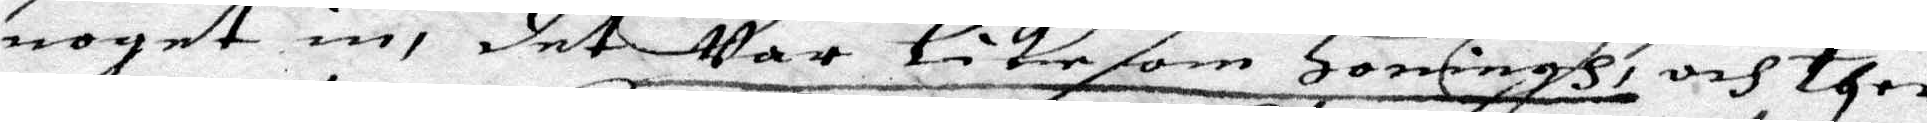noget in, det Var Likasom Honing, och ther
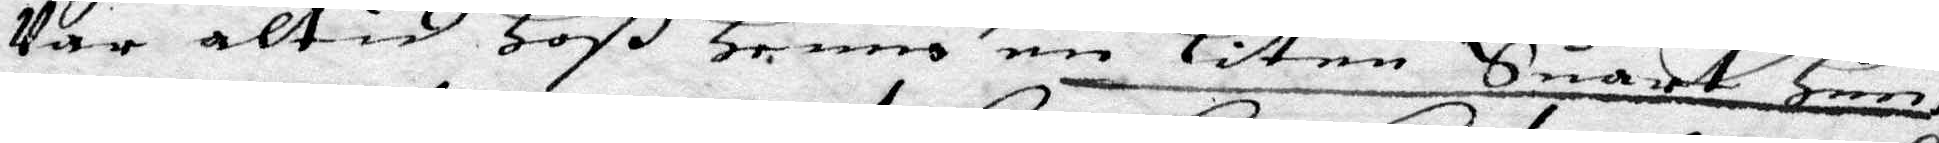Var altid Hoß Henne en Liten Suart Hun,
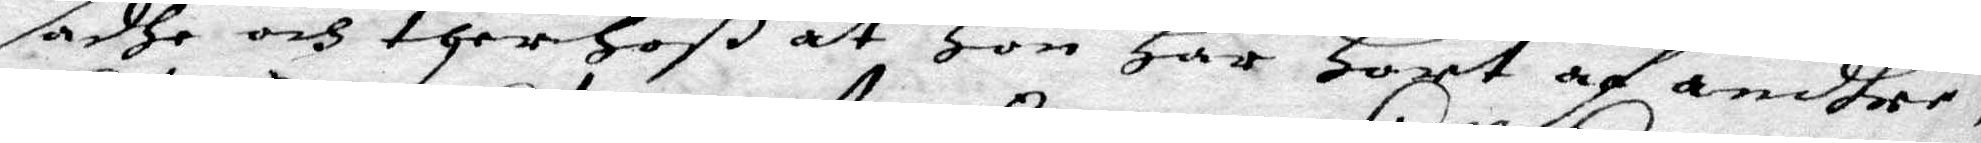sadhe och therhoß at Hon Har Hört af andhre,
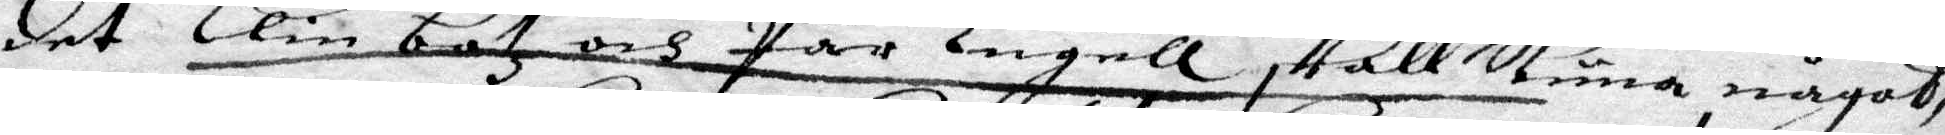det Elin båtz och Pär Engell skall kuna något,
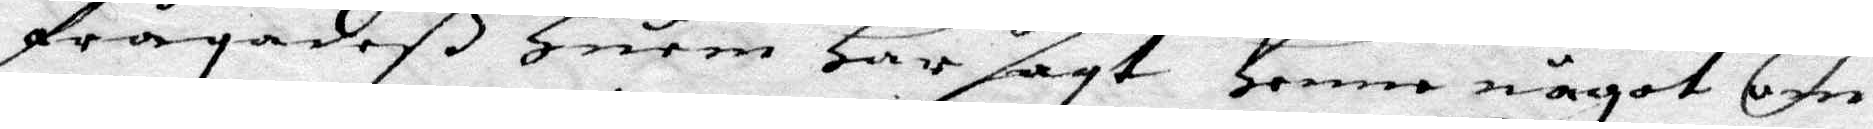frågadeß Huru har sagt Henne något om
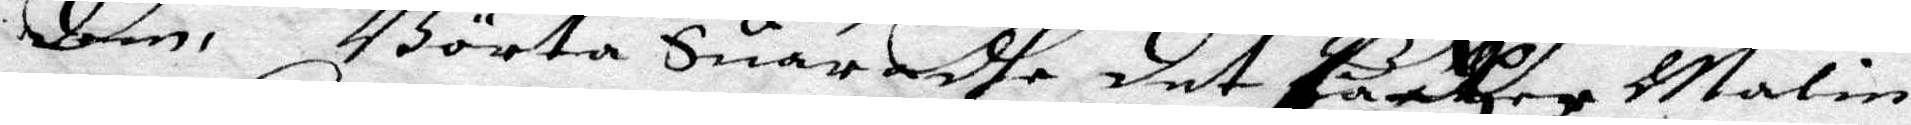dem,Börta Suaradhe det barkzer Malin
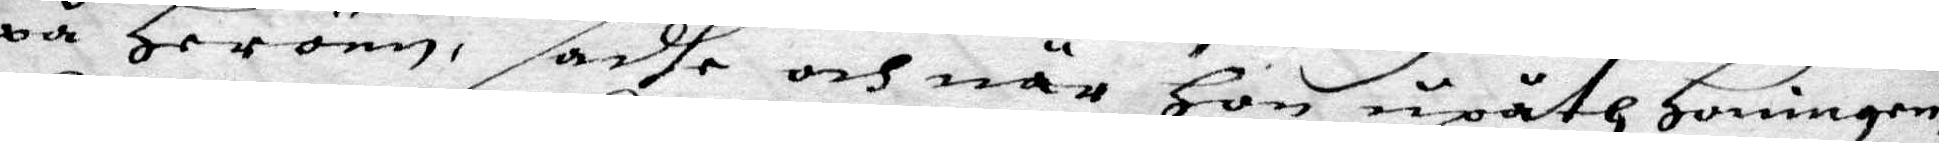på Heröen, sadhe och när  Hon upåth Honingen
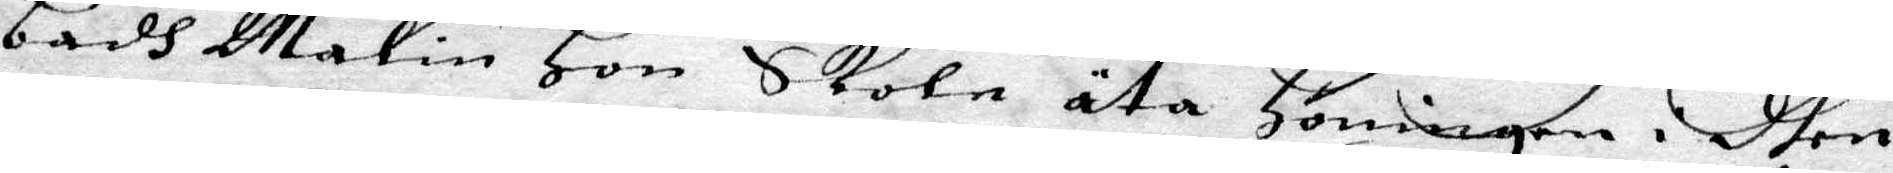badh Malin Hon skole äta Honingen i dhen
